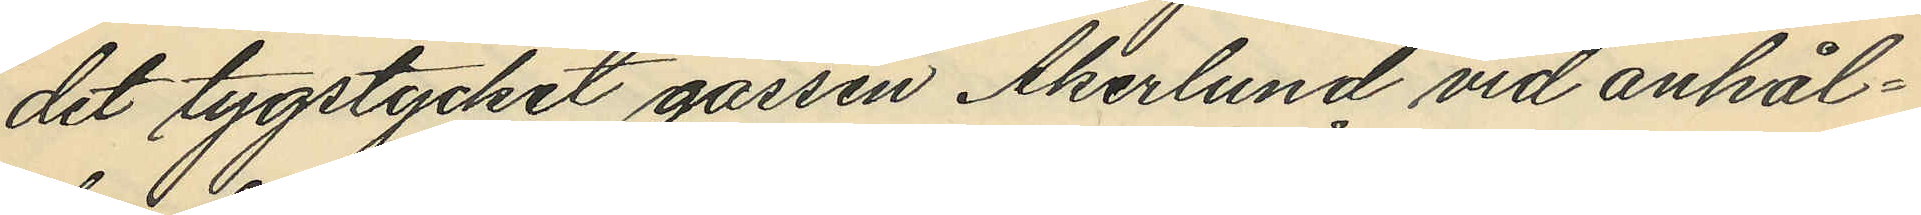det tygstycket gossen Åkerlund vid anhål¬
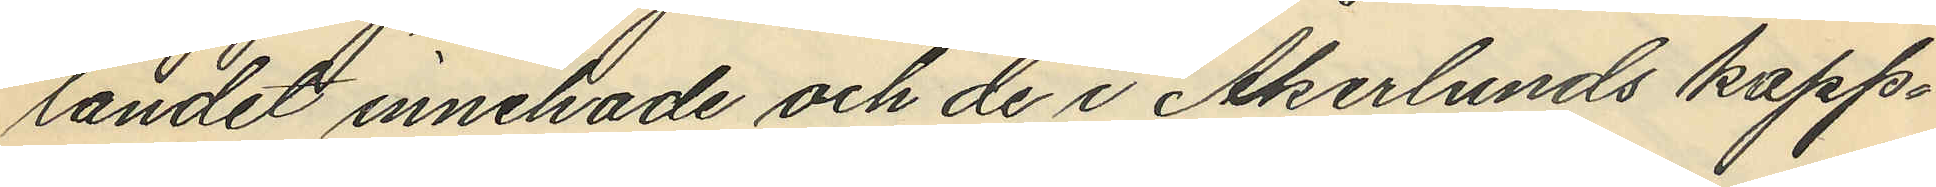landet innehade och de i Åkerlunds kapp¬
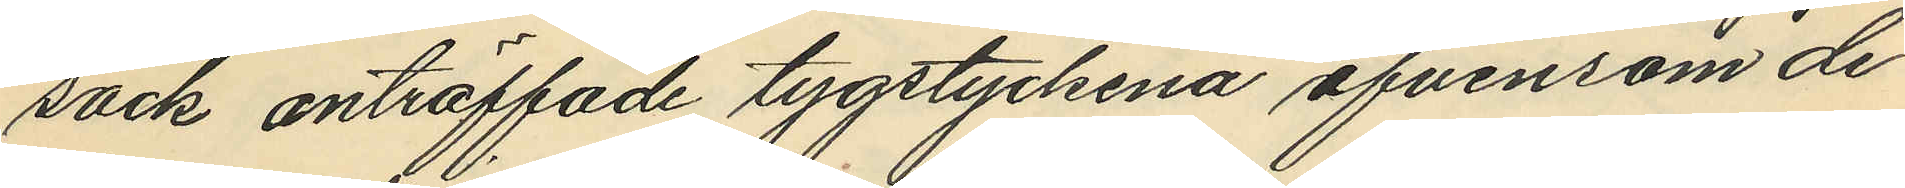säck anträffade tygstyckena äfvensom de
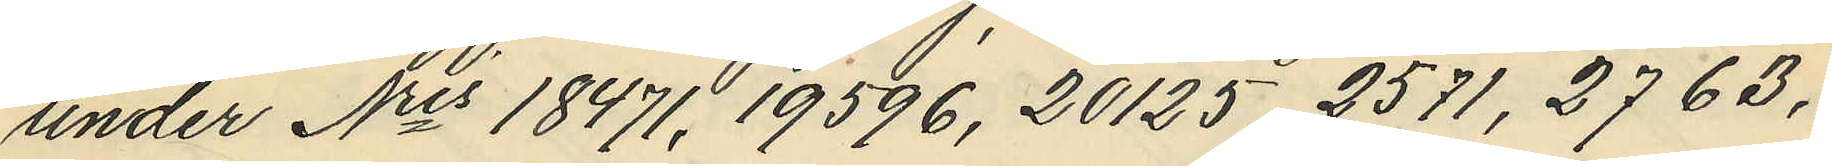under Nris 18471, 19596, 20125, 2571, 2763.
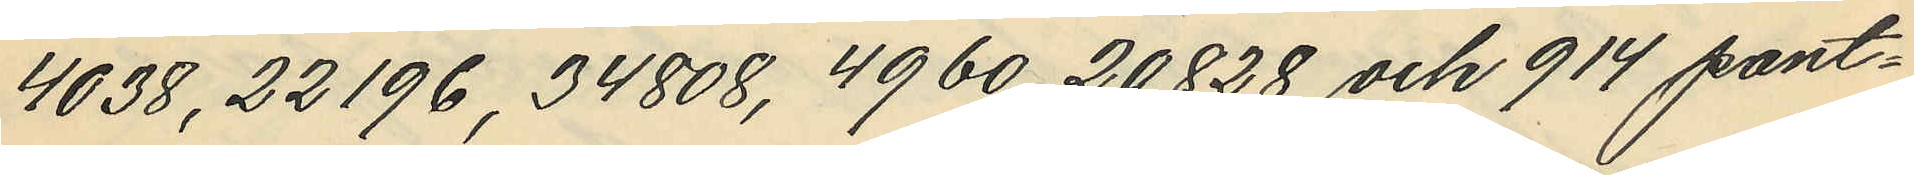4038, 22196, 34808, 4960, 20828, och 914 pant¬
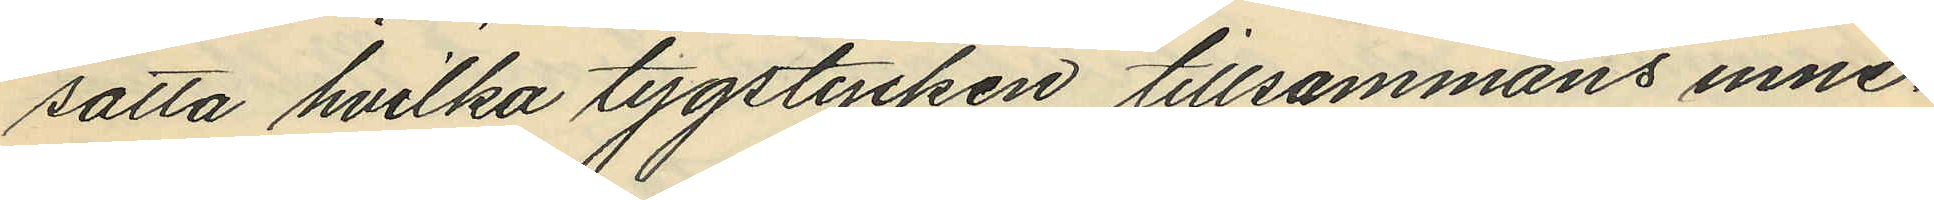satta hvilka tygstycken tillsammans inne¬
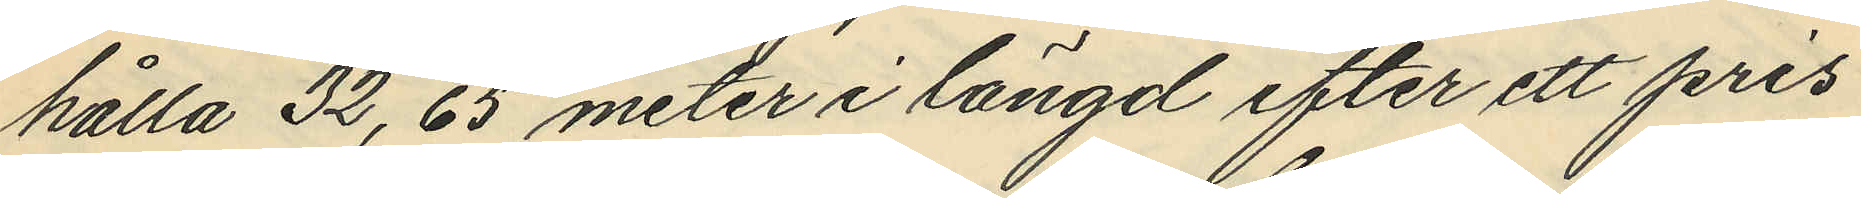hålla 32,65 meter i längd efter ett pris
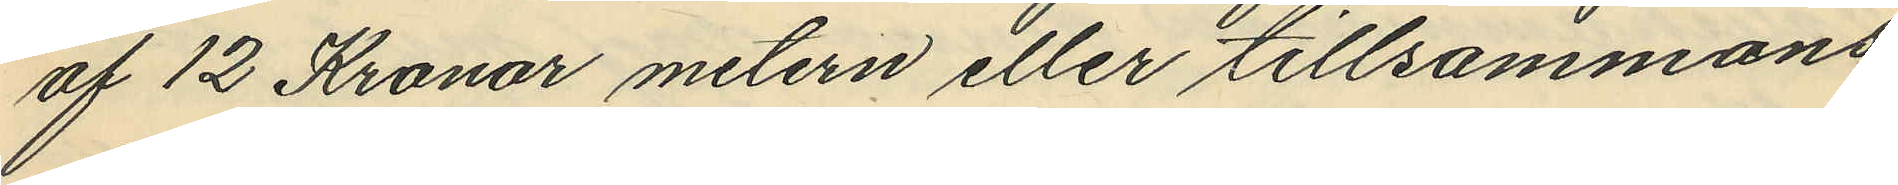af 12 Kronor metern eller tillsammans
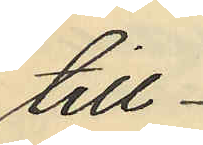till
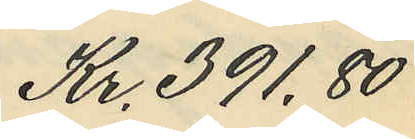Kr. 391,80
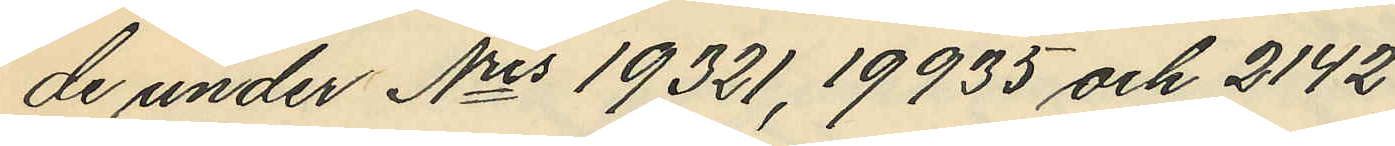de under Nris 19321, 19935, och 2142
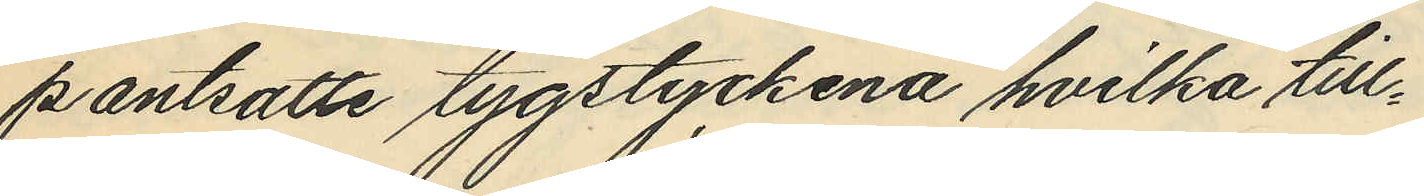pantsatte tygstyckena hvilka till¬
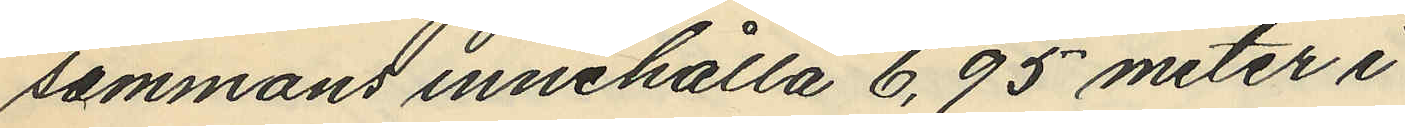sammans innehålla 6,95 meter i
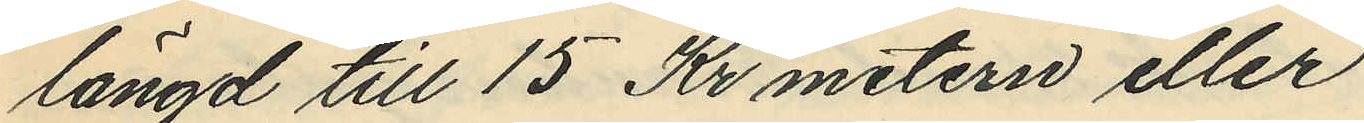längd till 15 Kr metern eller
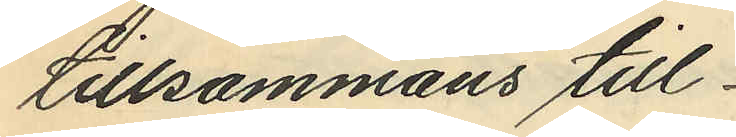tillsammans till
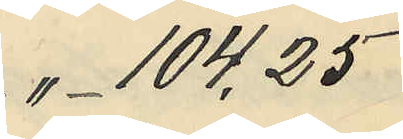" 104,25
